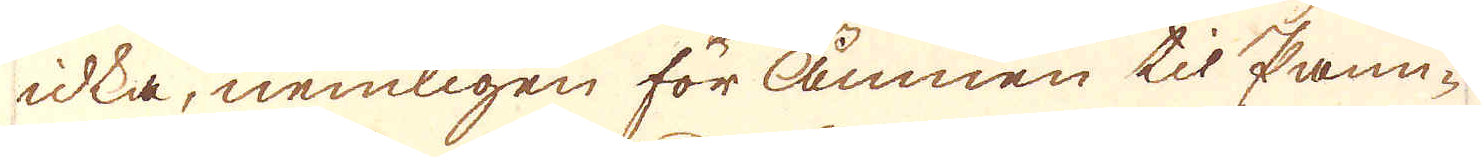idka, nemligen för Ämnen til Pann-
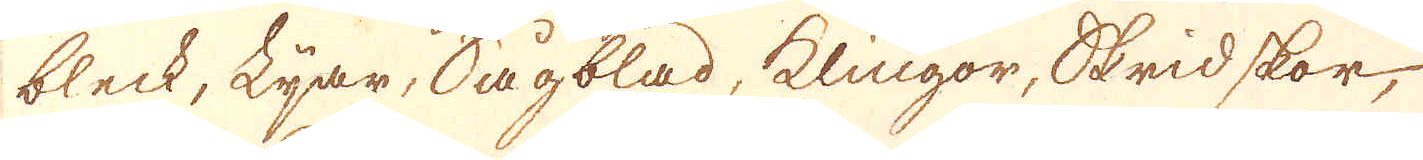bleck, Lijar, Sågblad, Klingor, Skridskor,
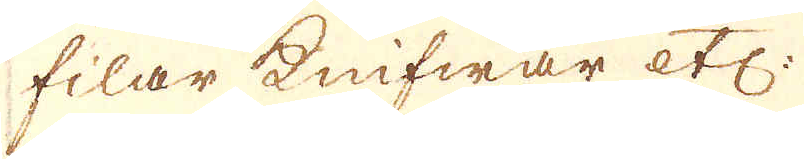filar, Knifwar etc:
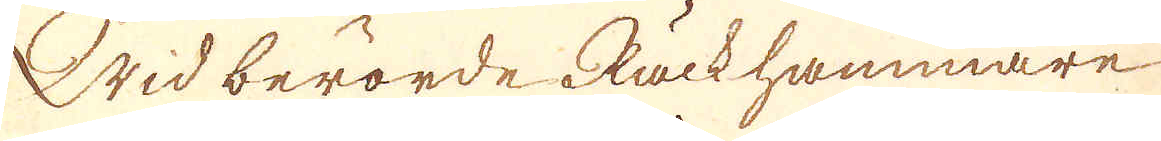Wid berörde Räckhammare
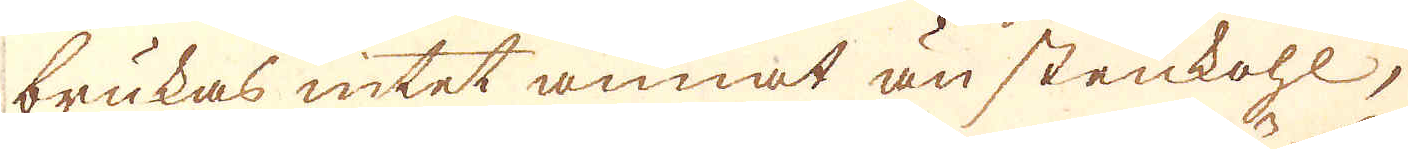brukas intet annat än stenkohl,
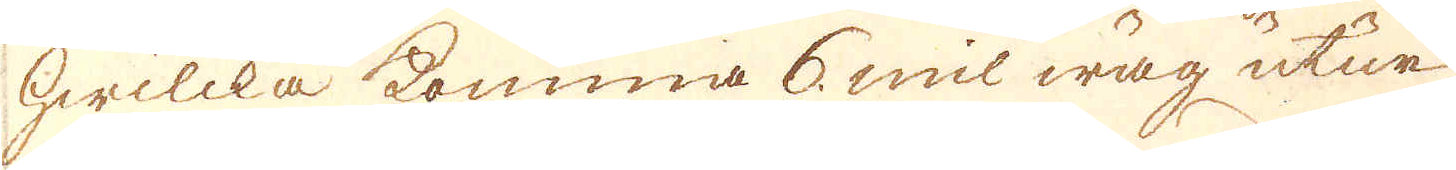hwilcka komma 6 mil wäg utur
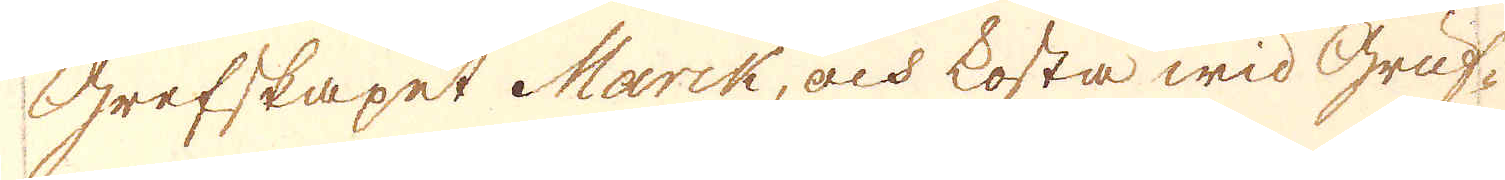Grefskapet Marck, och kosta wid Gruf-
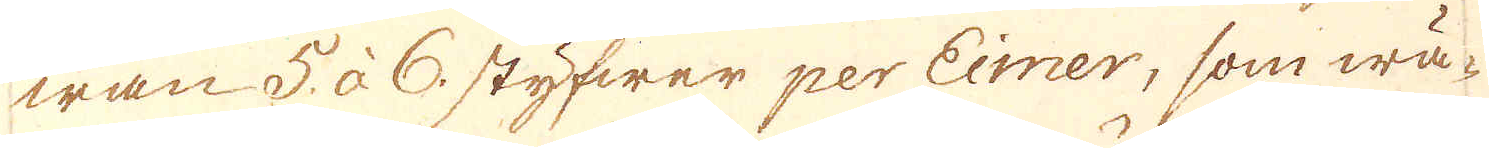wan 5 à 6 styfwer per Eimer, som wä-
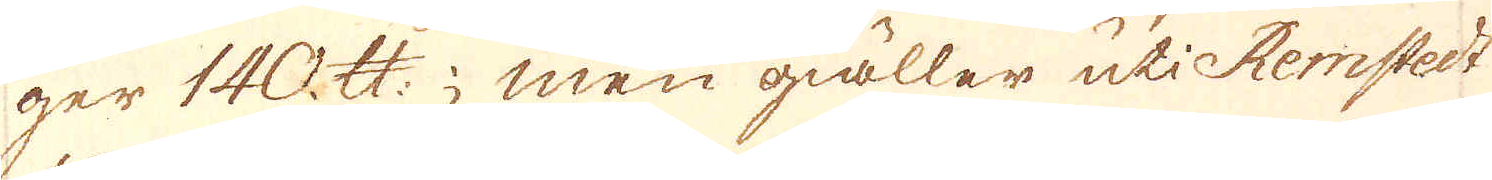ger 140 skålpund; men giäller uti Remstedt
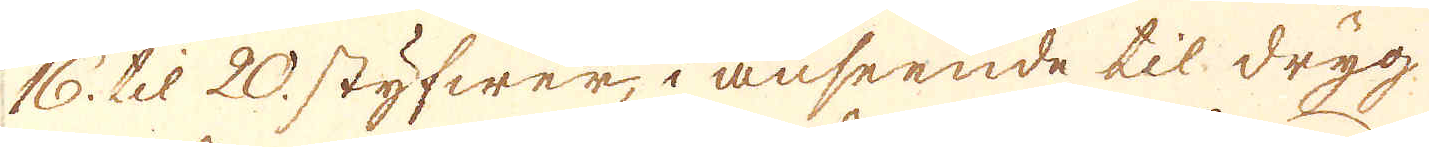16. til 20 styfwer, i anseende til dryg
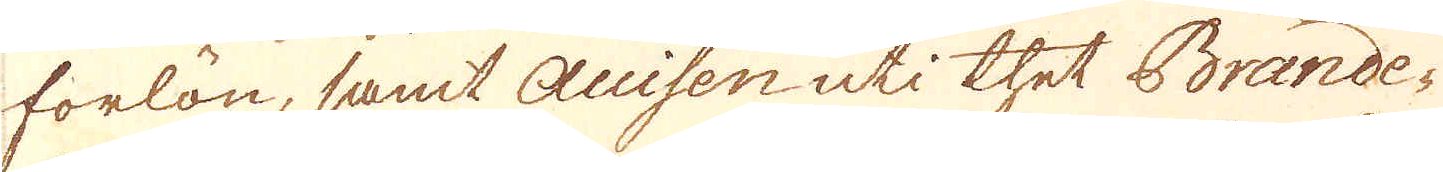forlön, samt Accisen uti thet Brande-
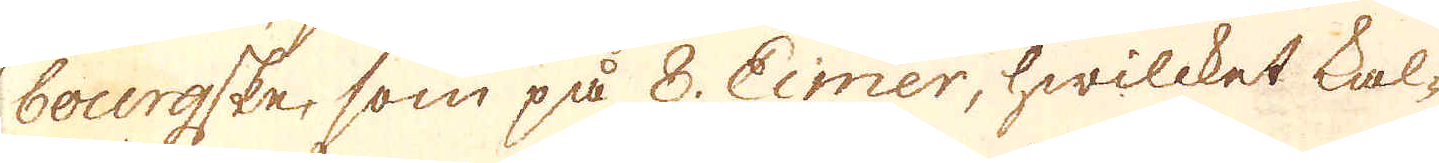bourgske, som på 8. Eimer, hwilcket kal-
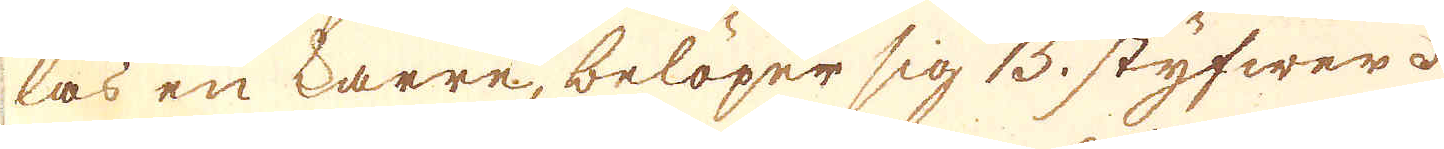las en karre, belöper sig 15 styfwer.
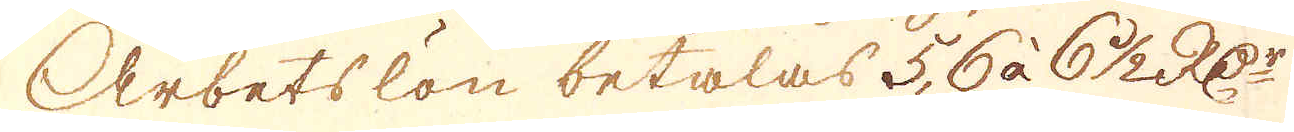Arbetslön betalas 5, 6 à 6 1/2 R:Dr
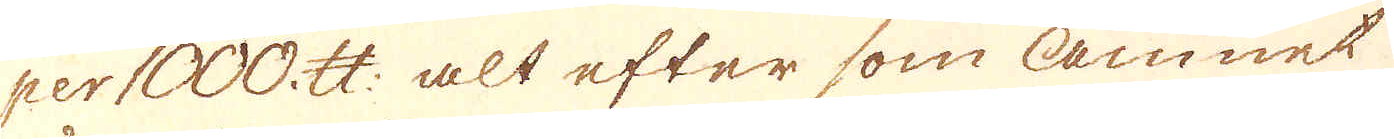per 1000. skålpund: alt efter som Ämnet
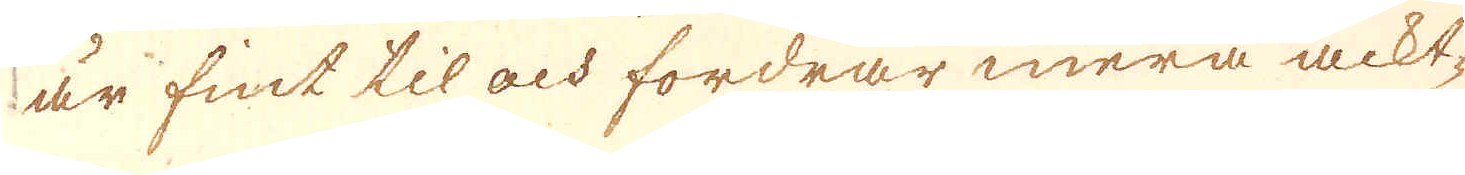är fint til ock fordrar mera ackt-
